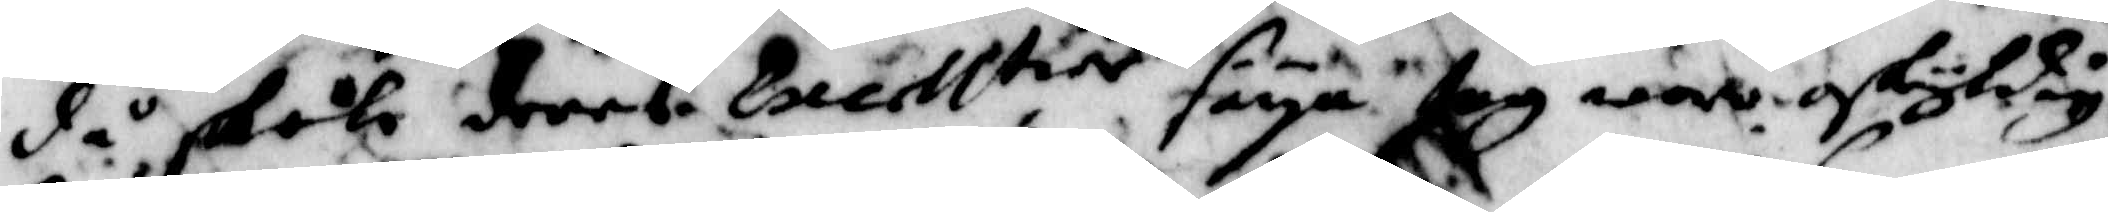då skola deres Excell.tier säya jag war oskyldig.
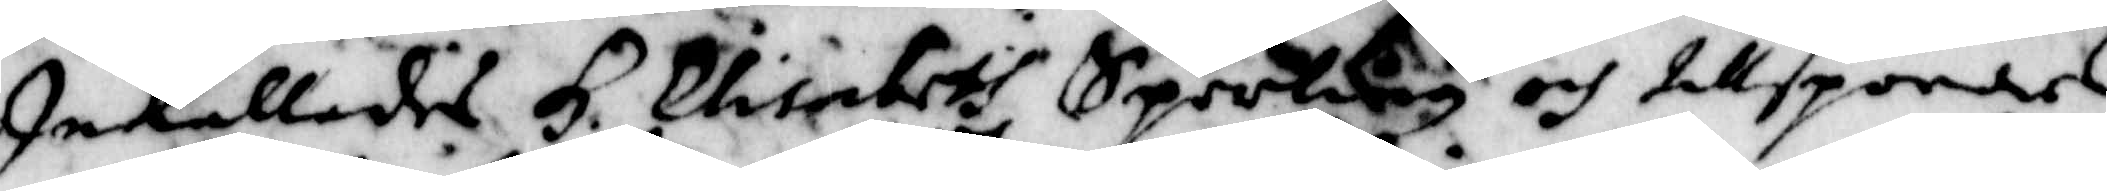Inkallades H: Elisabeth Sperling och tillspordes
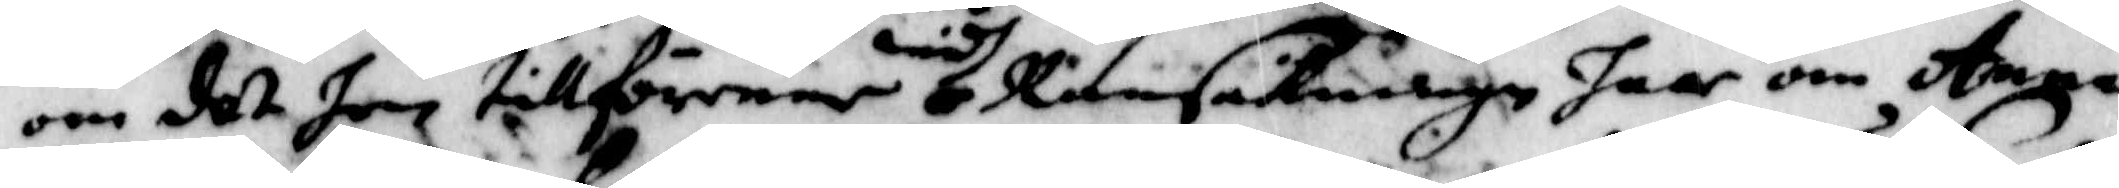om det hon tillförene widh Ransakningen haar om Anna
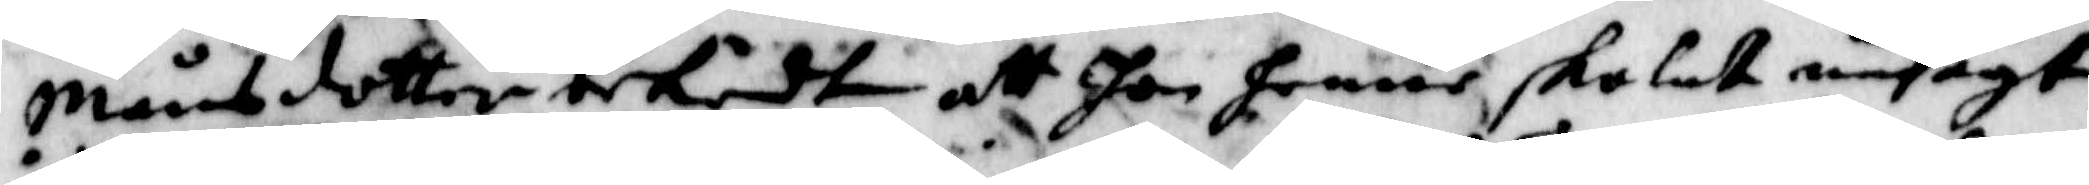Månsdotter bekändt att hon henne skolat undsagt
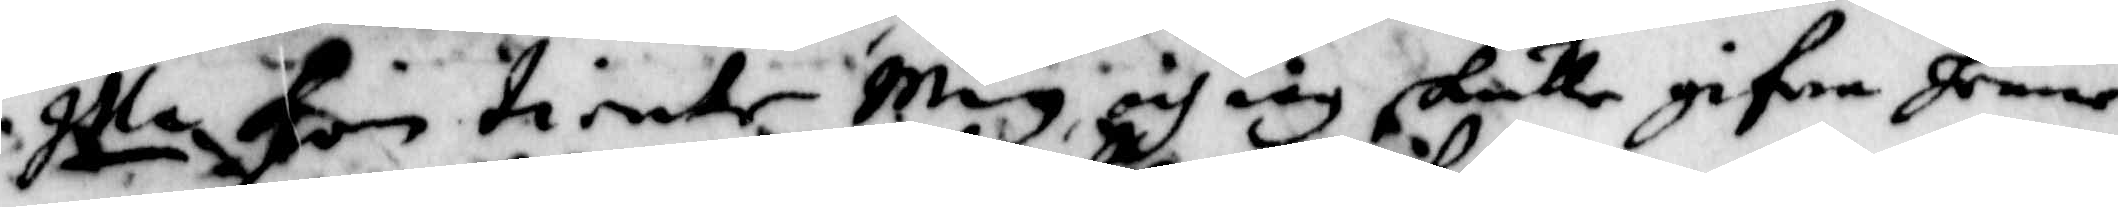Illa hin tiente Mig och iag skulle gifwa henne
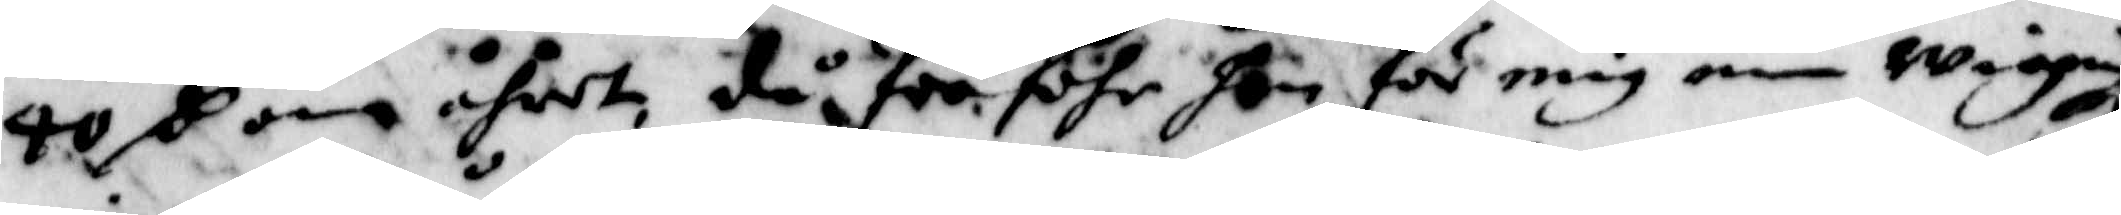40 S om åhret, då för föhr hon mig min wiegning¬
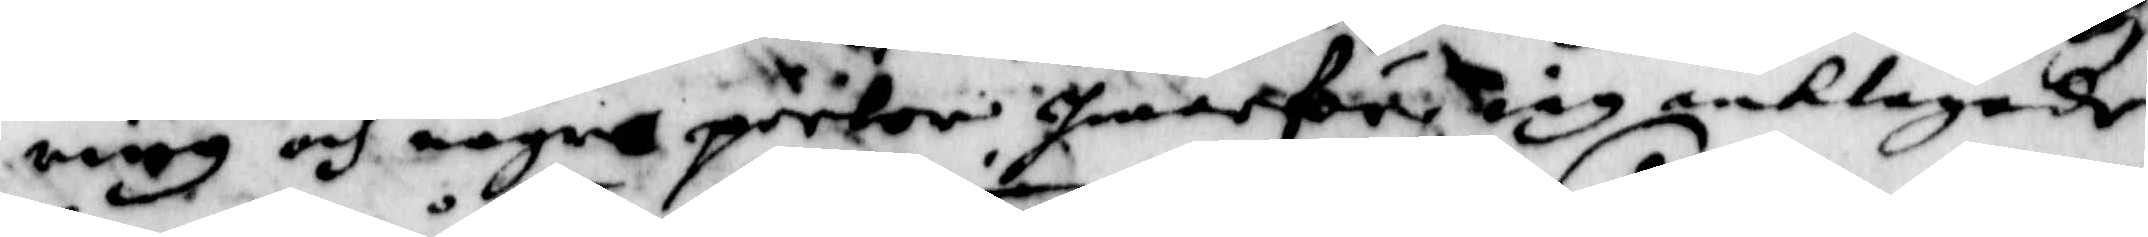ring och några pärlor Iwarföre iag anklagade
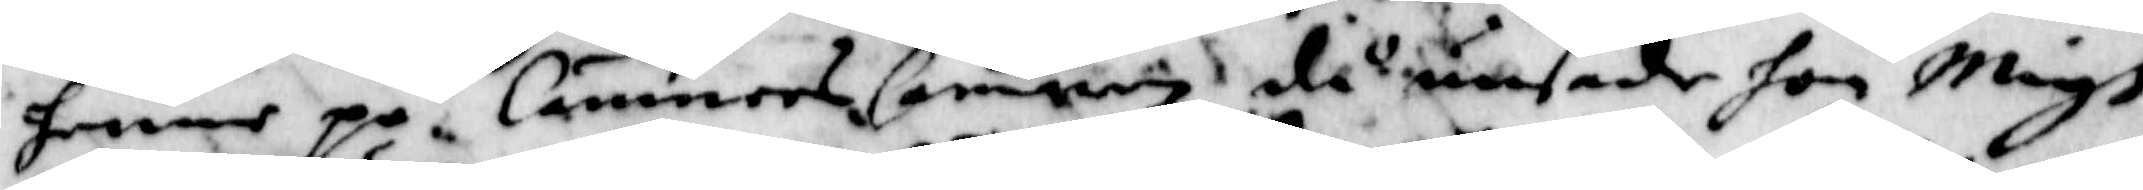henne på CämmnersCamren då unsade hon Migh
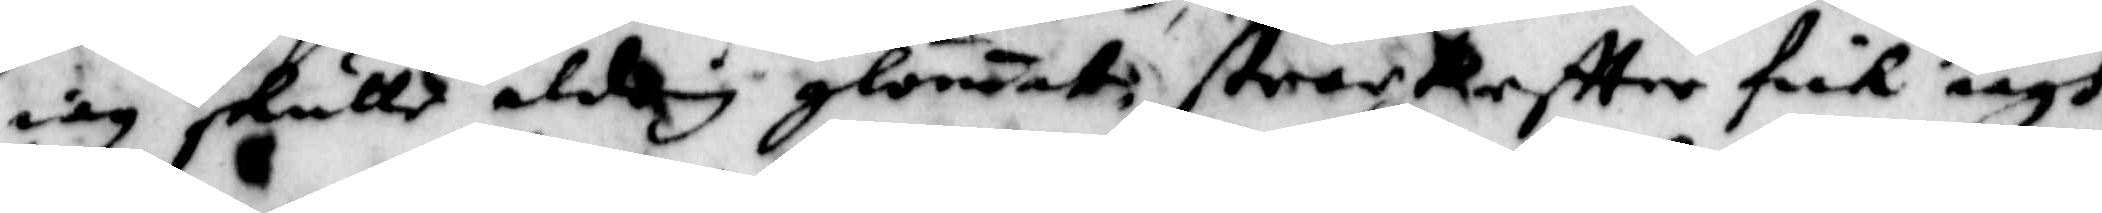iag skulle aldrig glonat, strack eftter fick iagh
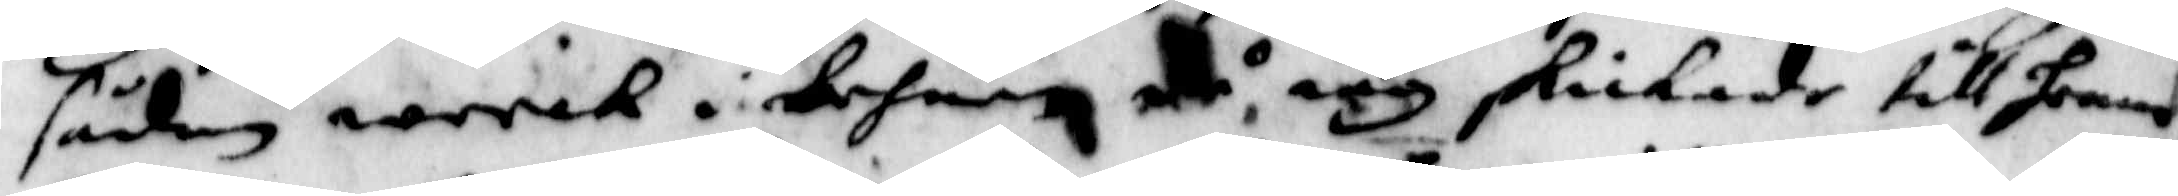sådan werck i behnen då iag skickade till henne
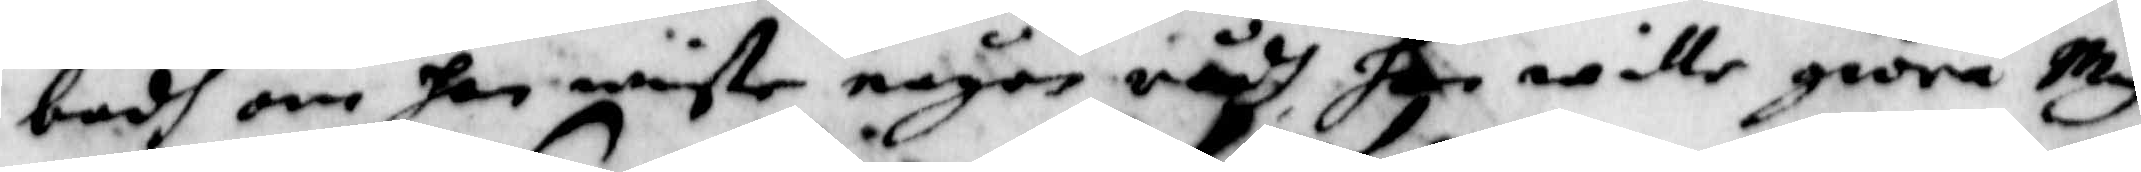bodh om hon wiste någon rådh hon wille giöra Mig
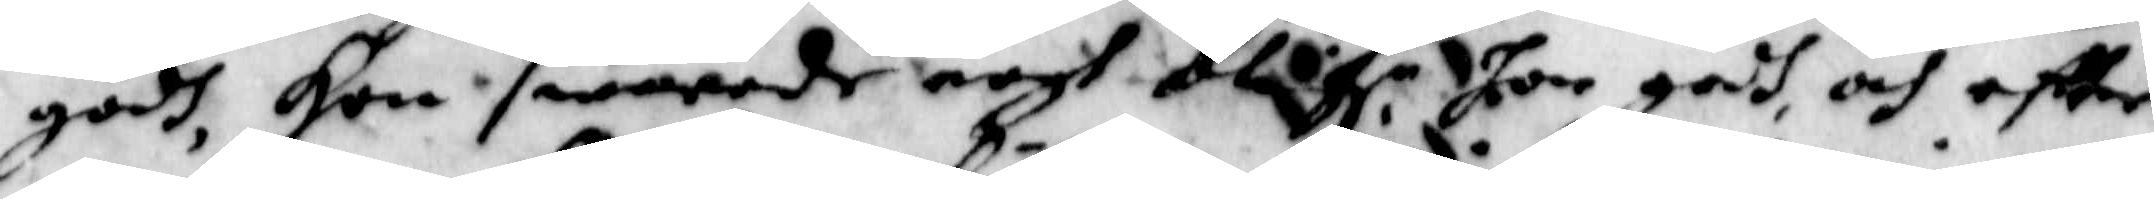godh, Hon swarade nogh blif.r hon godh och eftter
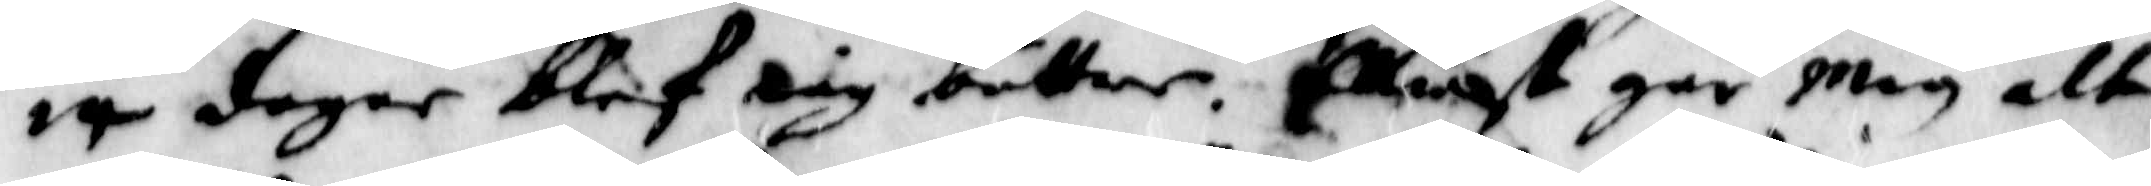14 dagar blef iag bättre. Elliest går mig alt
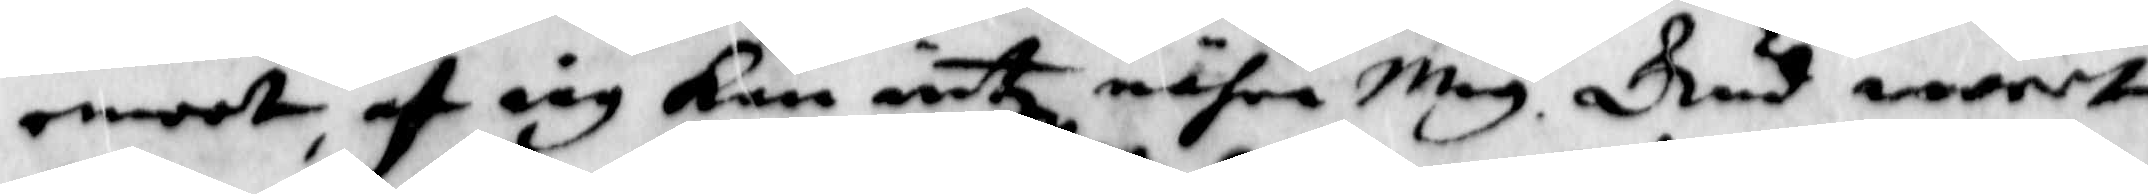emoot, af iag Kan intz nähra Mig. Gud weedt
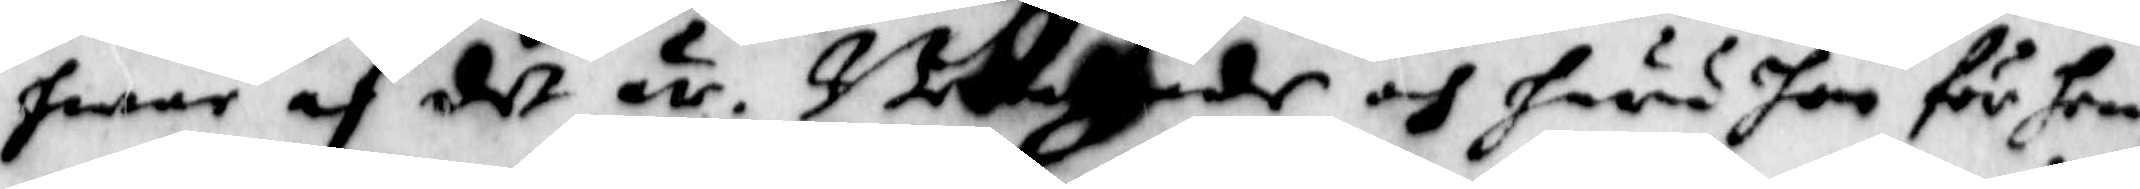hwar af det är. Beklagade och huru hon för hen¬
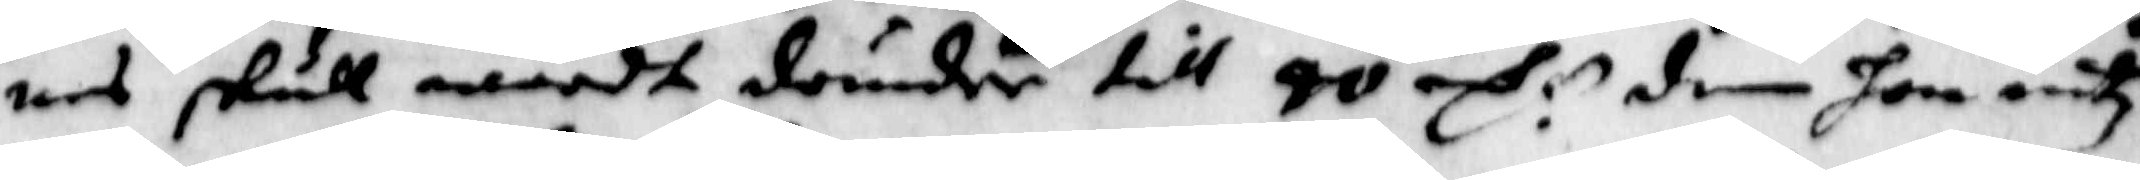nes skull wardt dömder till 40 S: dem hon intz
